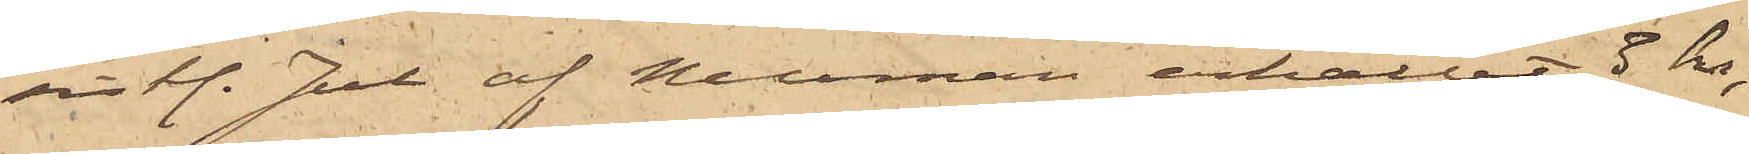sist. Jul af Neuman erhållit 3 kr,
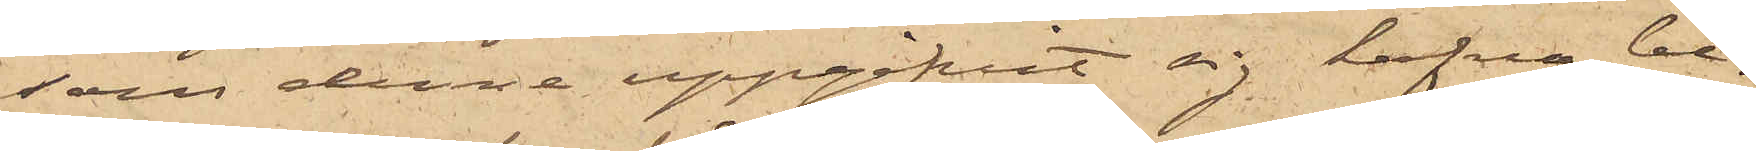som denne uppgifvit sig hafva be¬
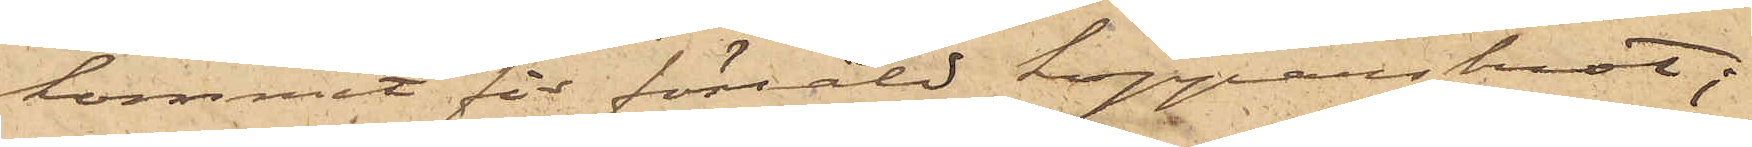kommit för försåld kopparskrot;
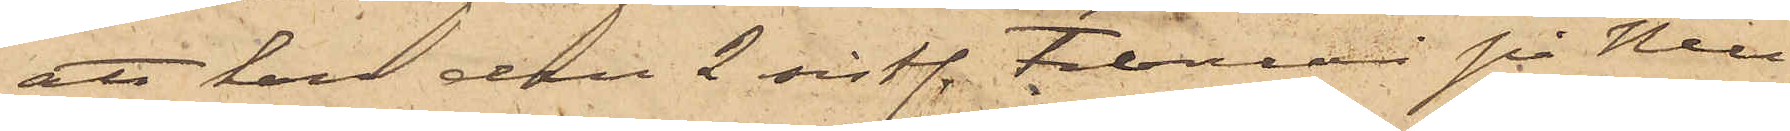att han den 2 sist. Februari på Neu¬
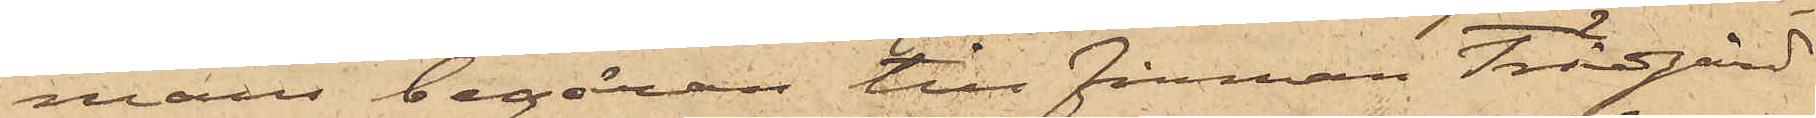mans begäran till firman Trägård
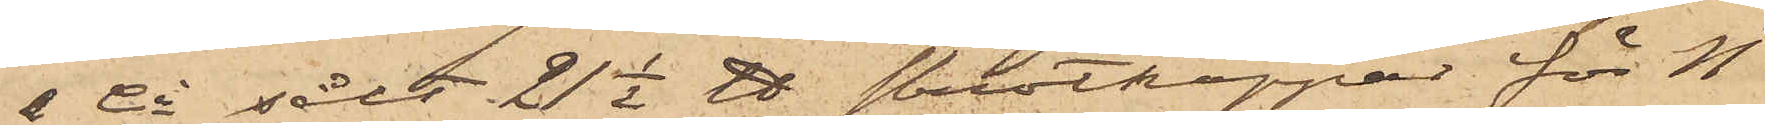& Co sålt 21½ ℔ skrotkoppar för11
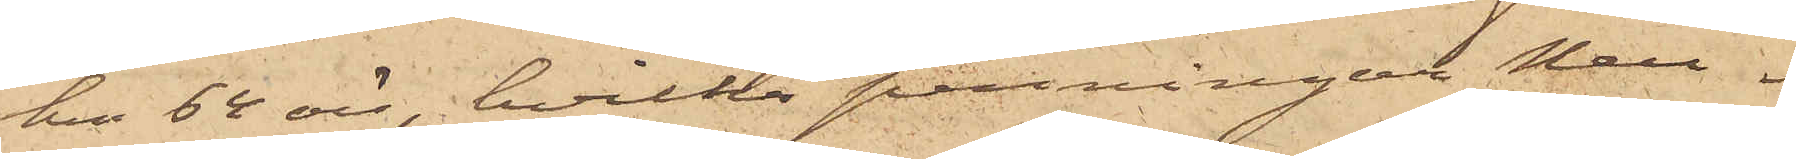kr 64 öre, hvilka penningar Neu¬
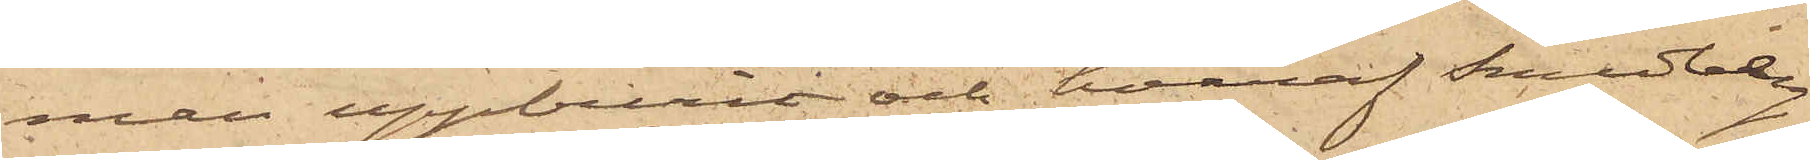man uppburit och hvaraf Sundberg
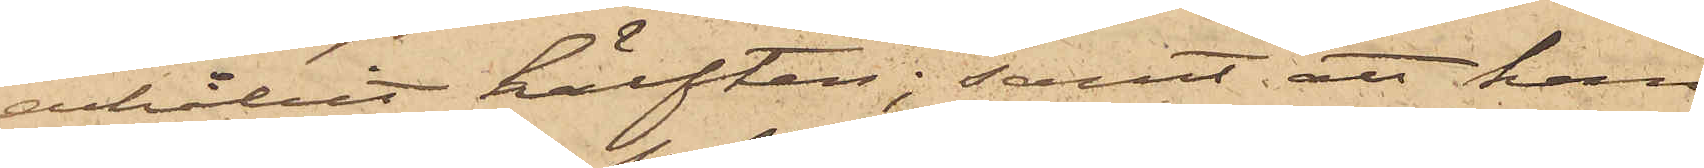erhållit hälften; samt att han
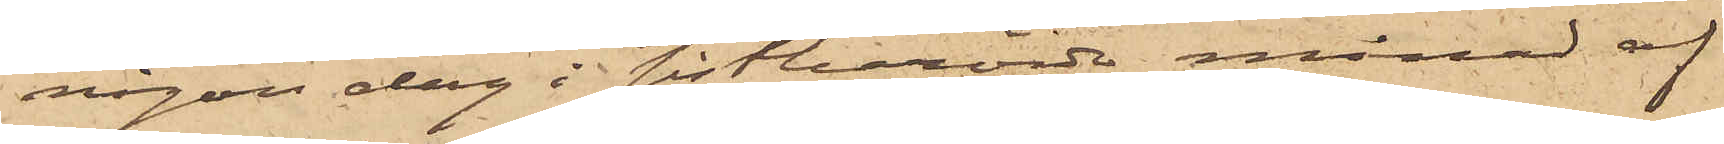någon dag i sistberörde månad af
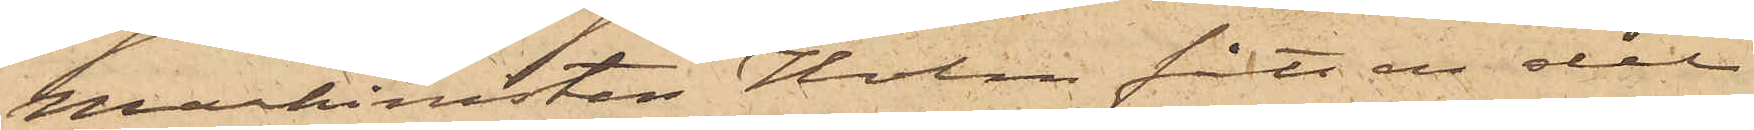Maskinisten Holm fått en del
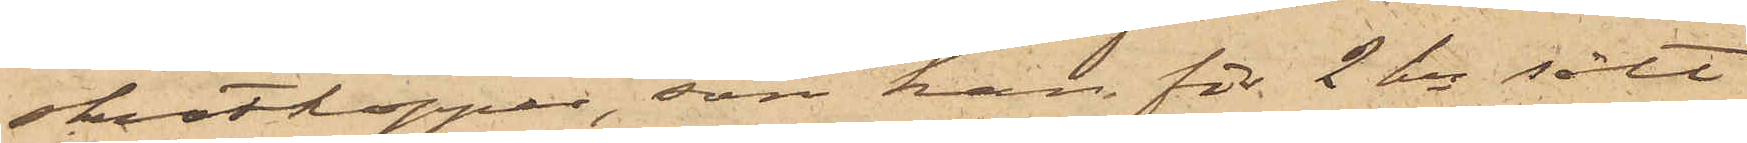skrotkoppar, som han för 2 kr sålt
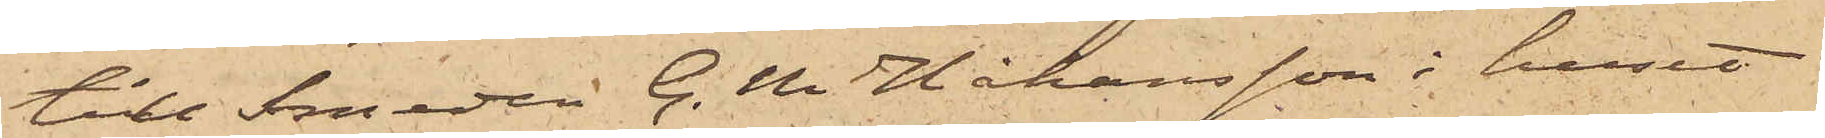till Smeden G.M. Håkansson i huset
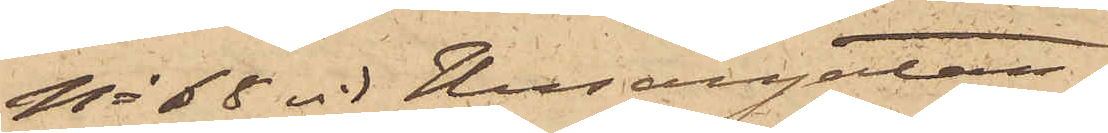No 68 vid Husargatan;
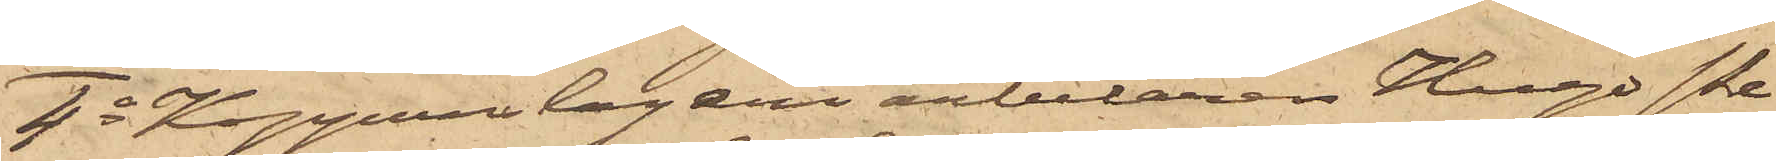4o Kopparslageriarbetaren Hugo Pe¬
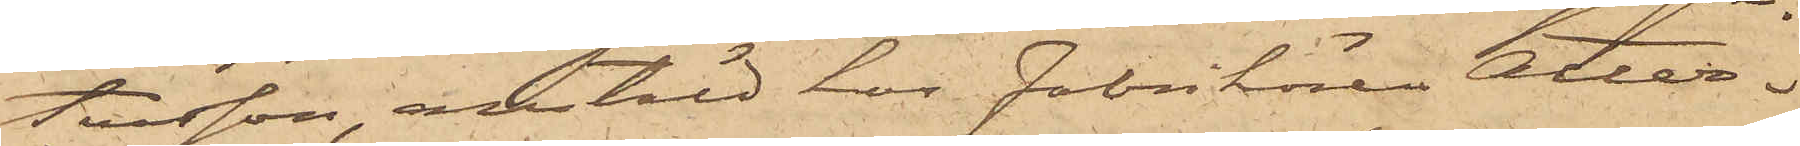tersson, anstäld hos Fabrikören Atter¬
